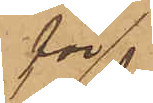för¬
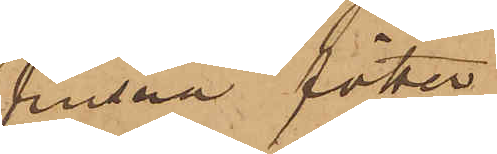frusna fötter
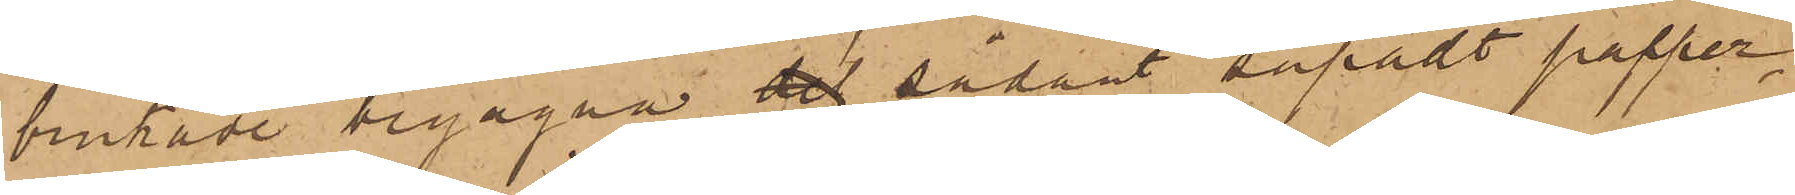brukade begagna det sådant såpadt papper,
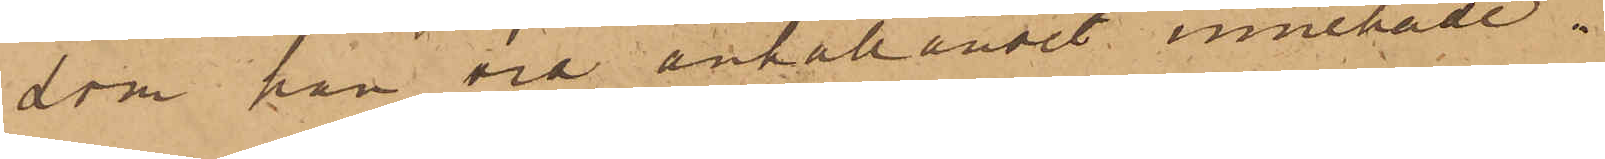som han vid anhållandet innehade.
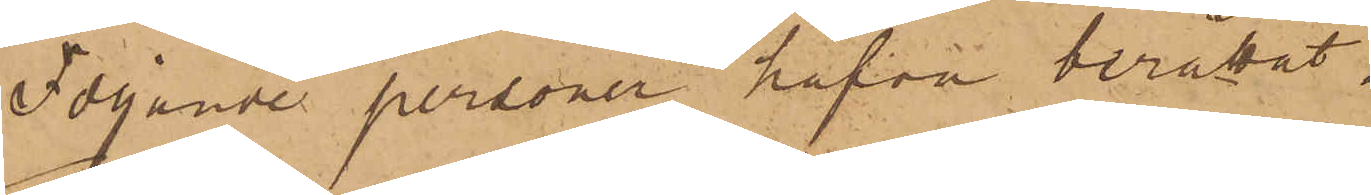Följande personer hafva berättat.
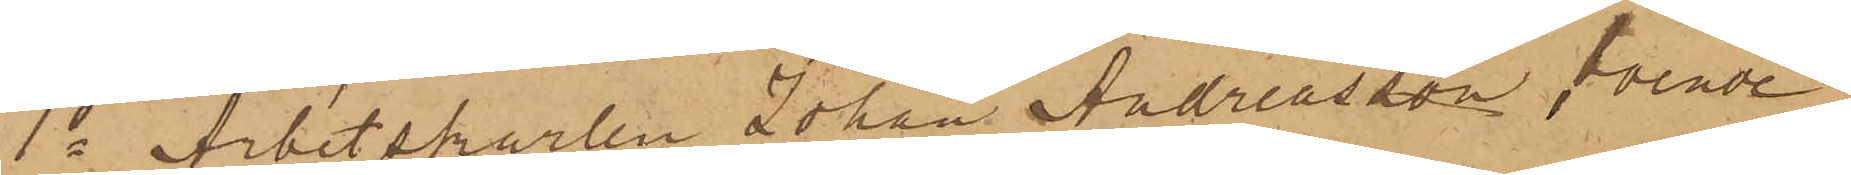1o Arbetskarlen Johan Andreasson, boende
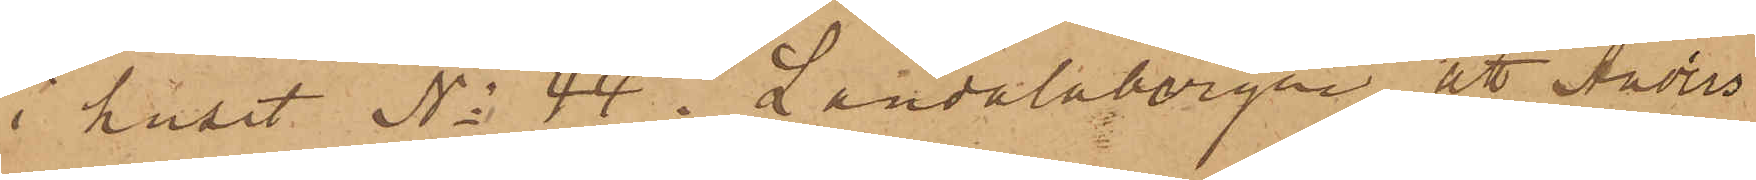i huset No 44 i Landalabergen, att Anders
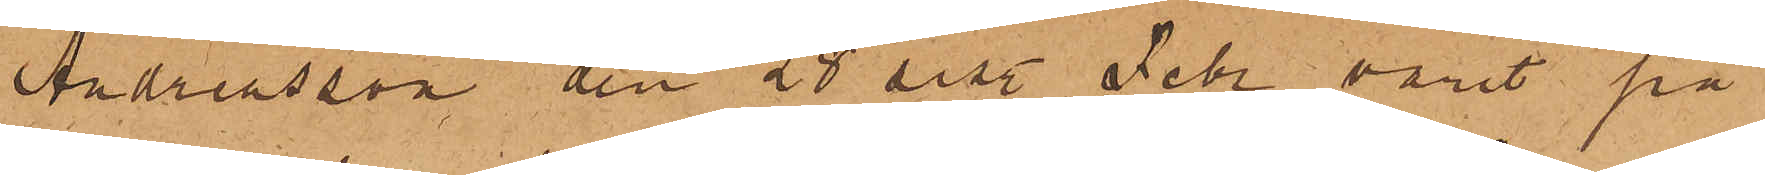Andreasson den 28 sist. Febr varit på
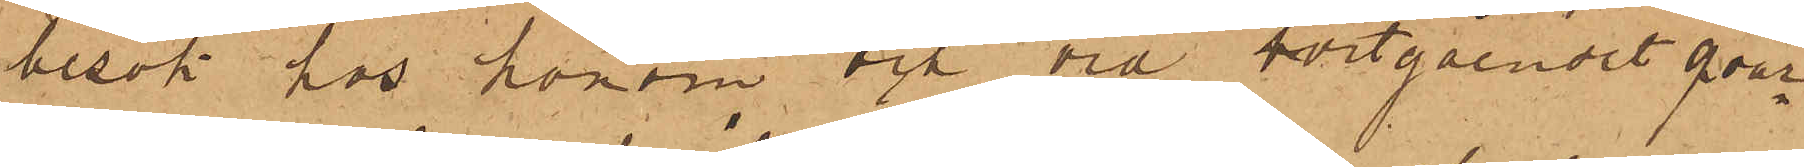besök hos honom och vid bortgåendet qvar¬
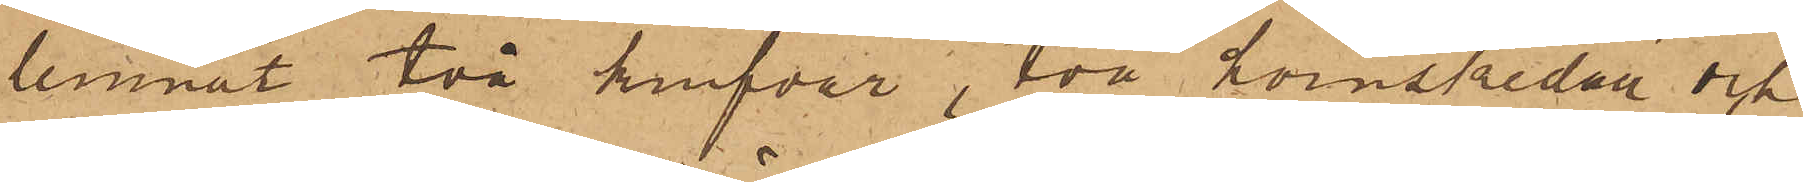lemnat två knifvar, två hornskedar och
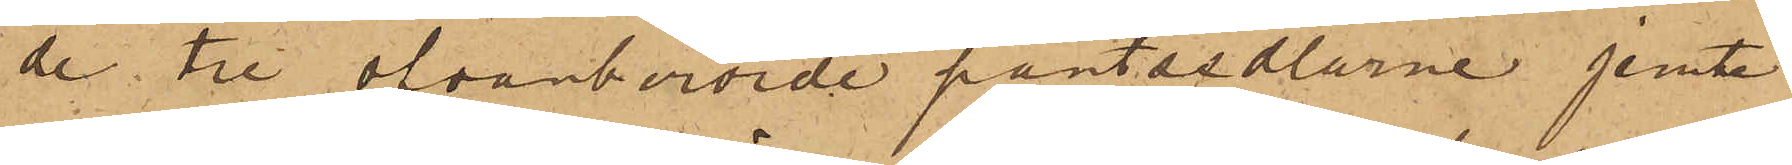de tre ofvanberörde pantsedlarne jemte
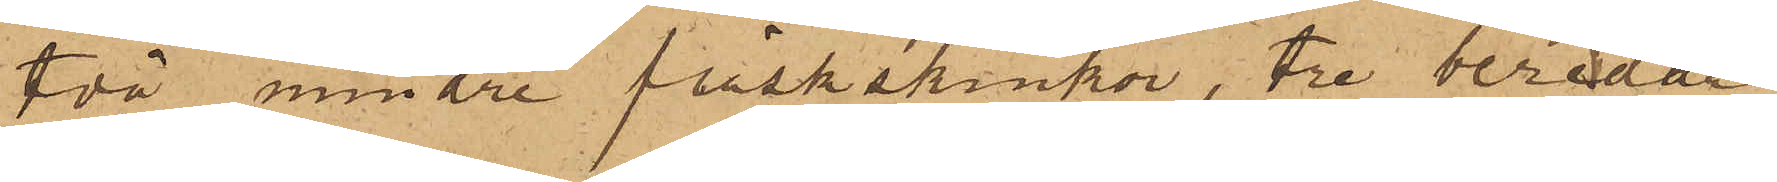två mindre fläskskinkor, tre beredda
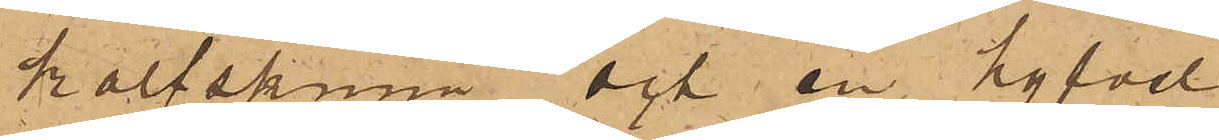kalfskinn och en hyfvel.
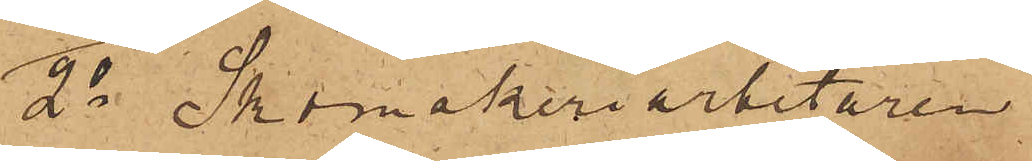2o Skomakeriarbetaren
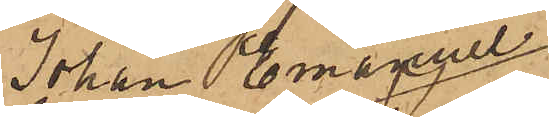Johan Emanuel
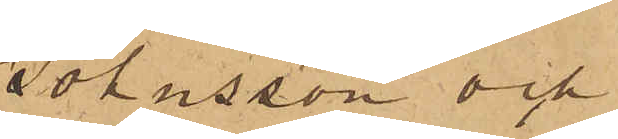Johnsson och
